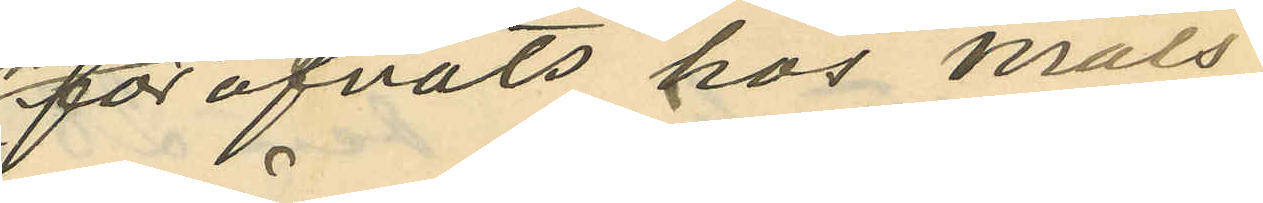föröfvats hos måls¬
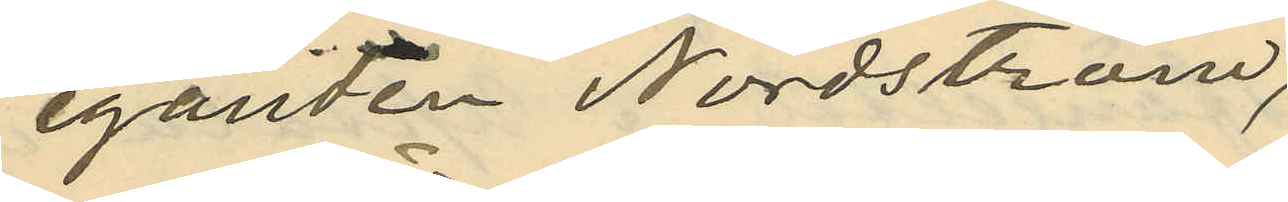eganden Nordström,
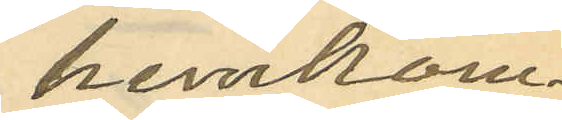hemkom kl 4;
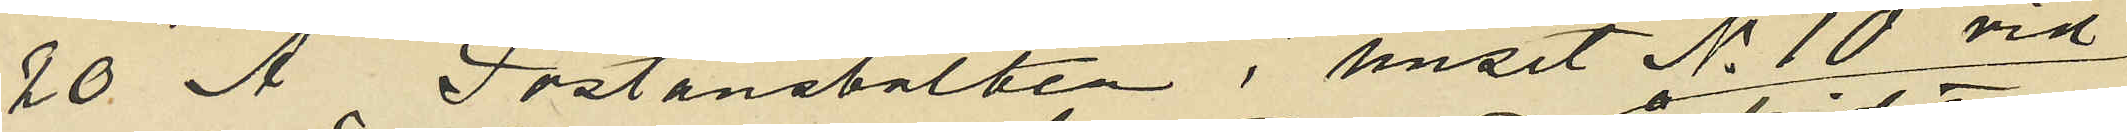10o Å Postanstalten i huset No 10 vid
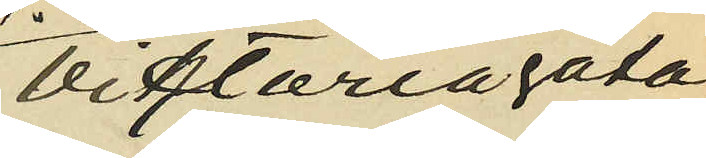Viktoriagatan
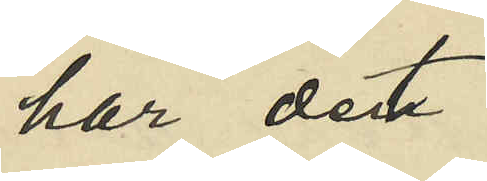har det
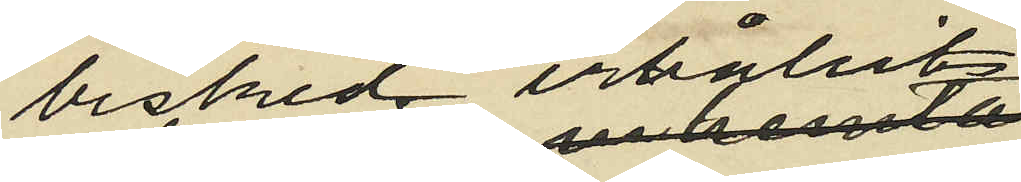besked erhållits,
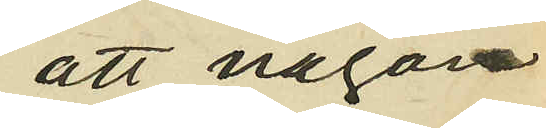att någon
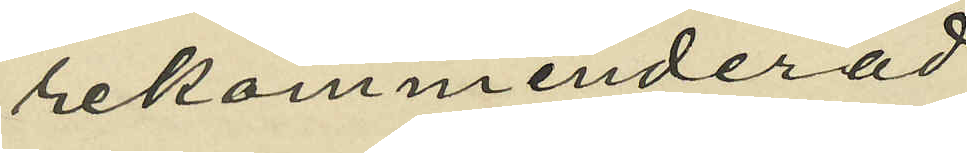rekommenderad
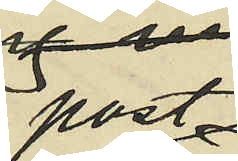post¬
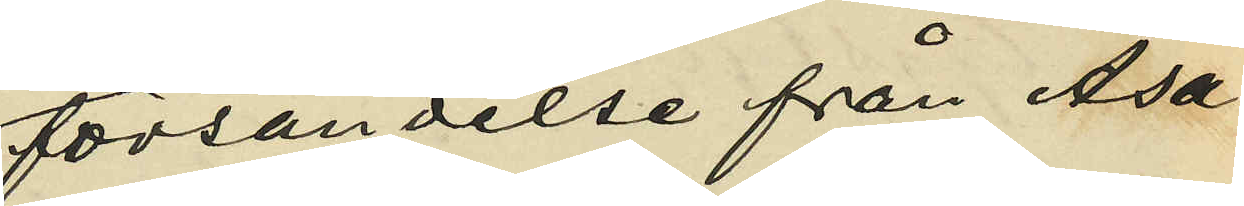försändelse från Asa¬
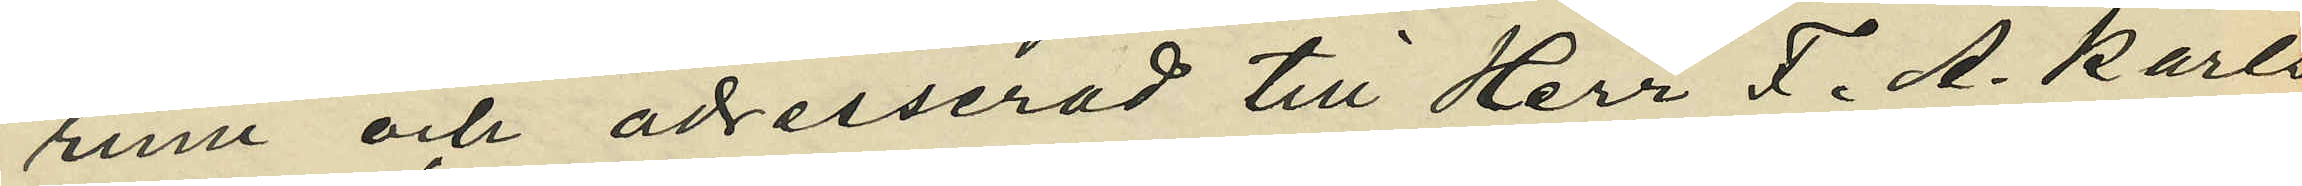rum och adresserad till Herr F. A. Karls
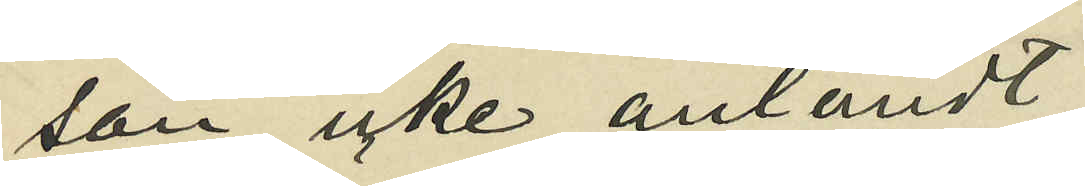son icke anländt
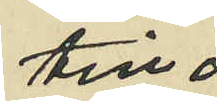till
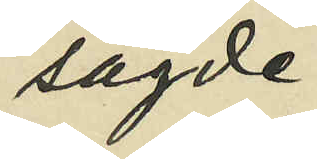sagde
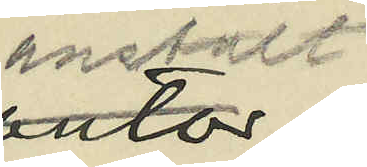anstalt
